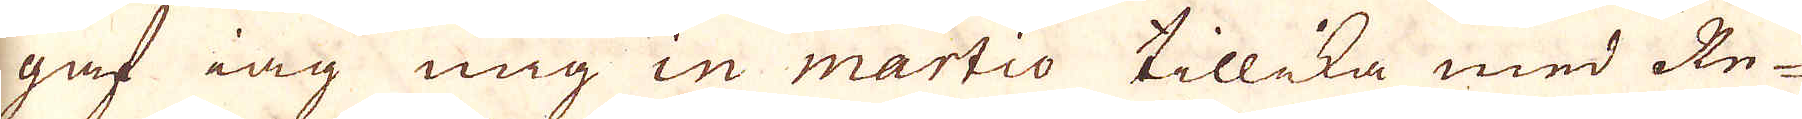gaf iag mig in martio tillika med Re-
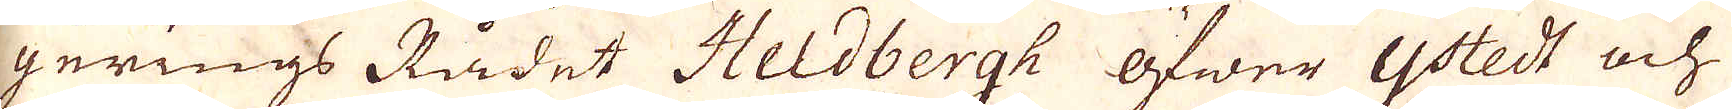gerings Rådet Heldbergh öfwer Ystedt och
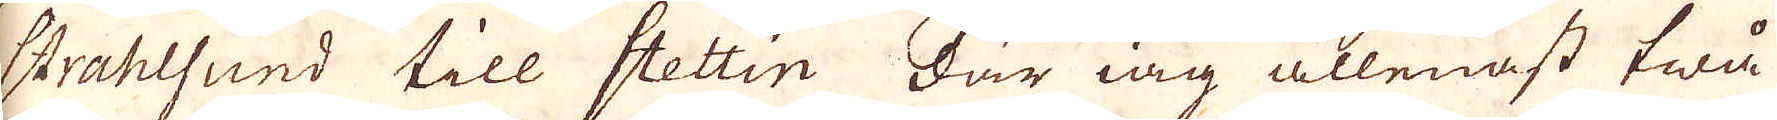Strahlsund till Stettin där iag allenast twå
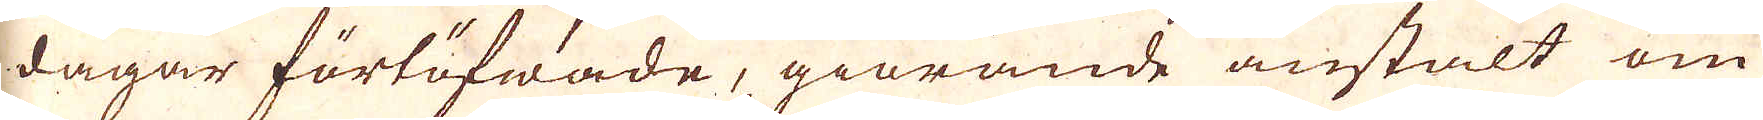dagar förtöfwade, giörande anstalt om
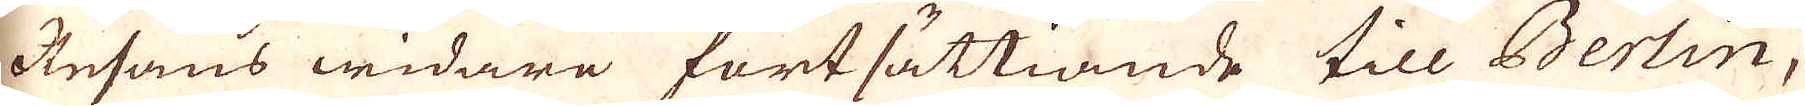Resans widara fortsättiande till Berlin,
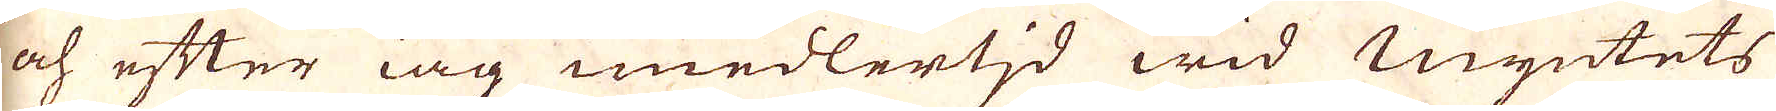och efter iag imedlertid wid Myntets
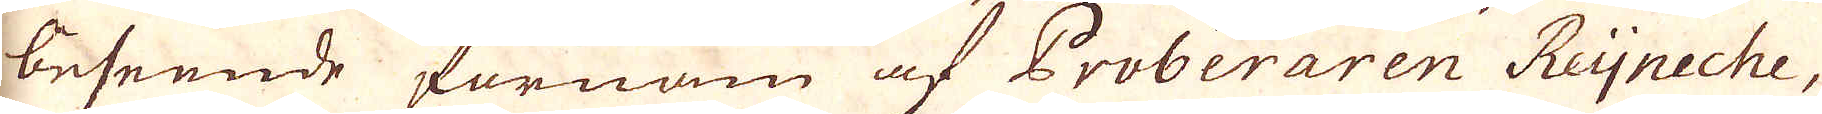beseende förnam af Proberaren Reijneche,
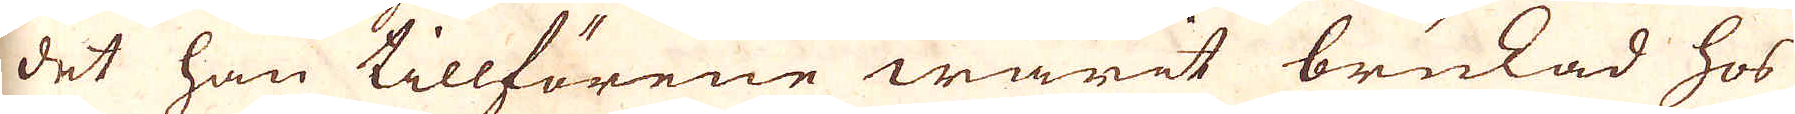det han tillförene warit brukad hos
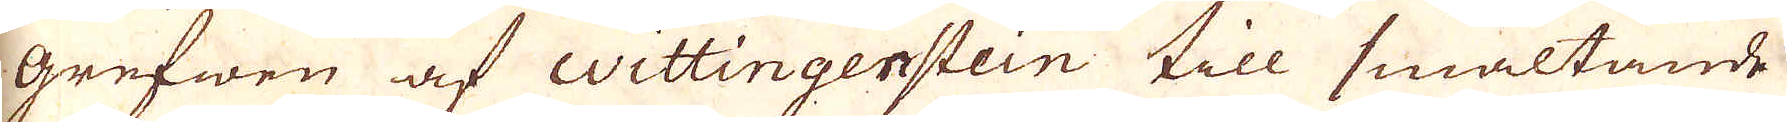grefwen af wittingenstein till smältande
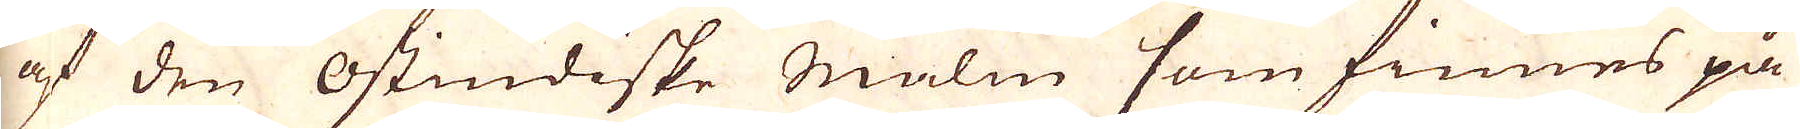af den Ostindiske malm som finnes på
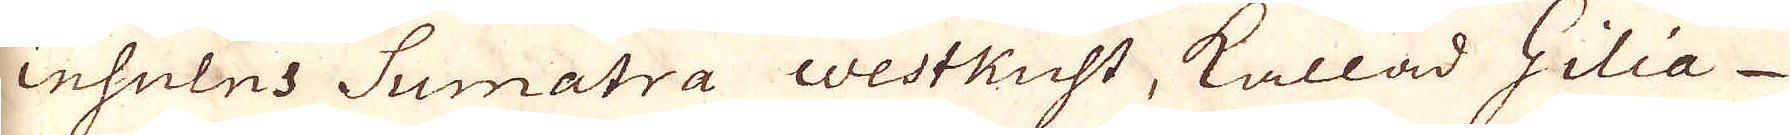insulus Sumatra westkust, kallad Gilia
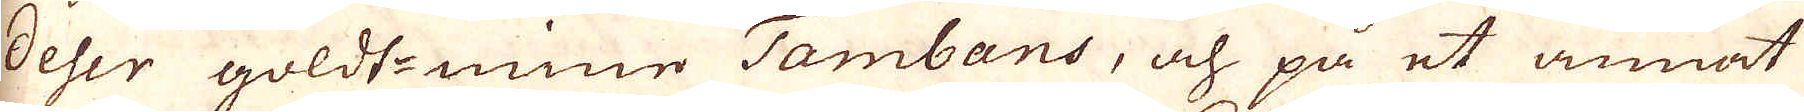deser goldt-mine Tambans, och på et annat
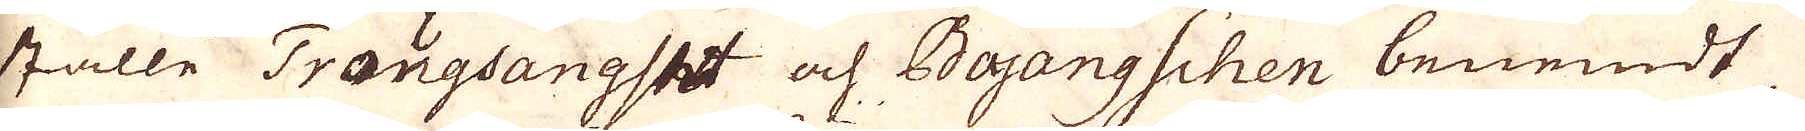ställe Trougsangset af Bajangschen benemdt
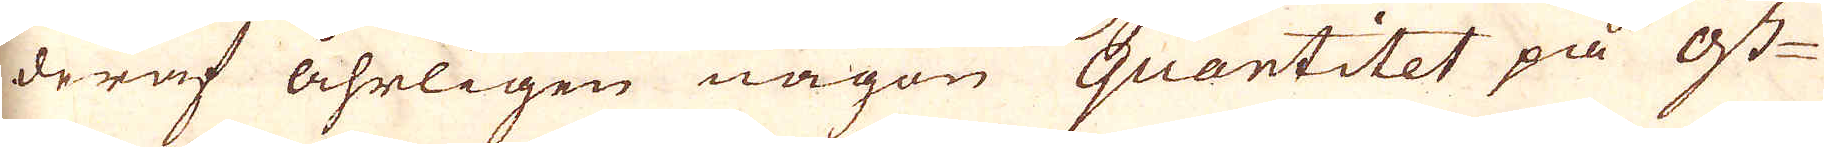deraf åhrligen någon quantitet på ost-
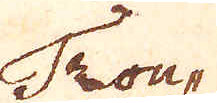Trou-
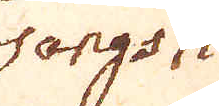sangsh
